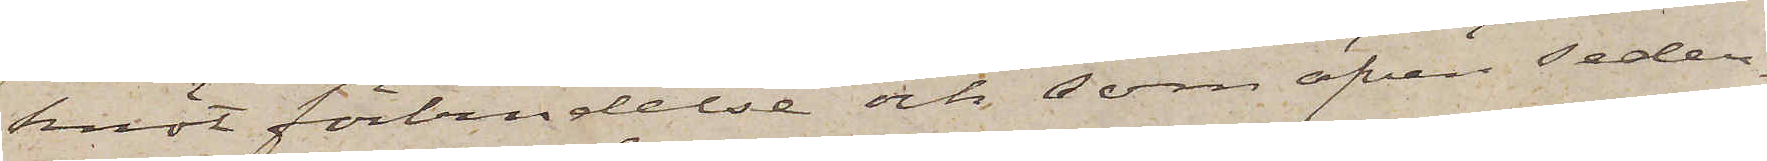knöt förbindelse och som äfven seder¬
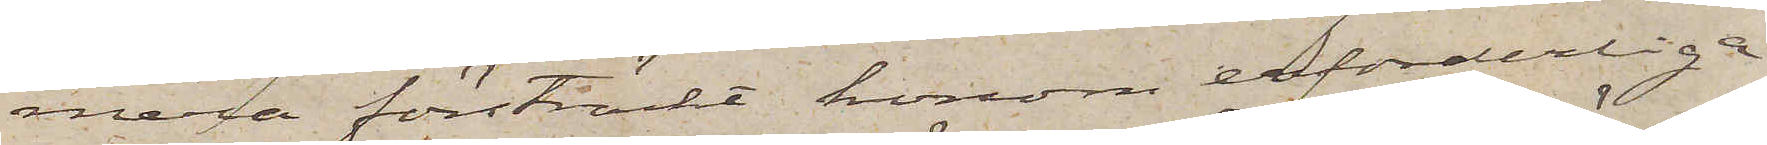mera försträckt honom erforderliga
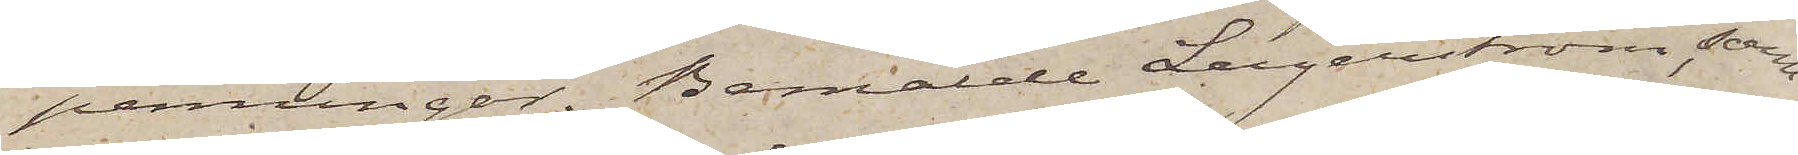penningar. Bemälde Lagerström, som
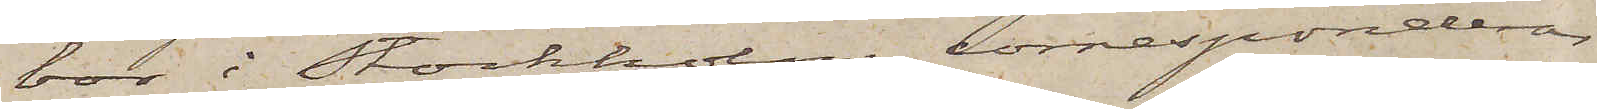bor i Stockholm, korresponderar
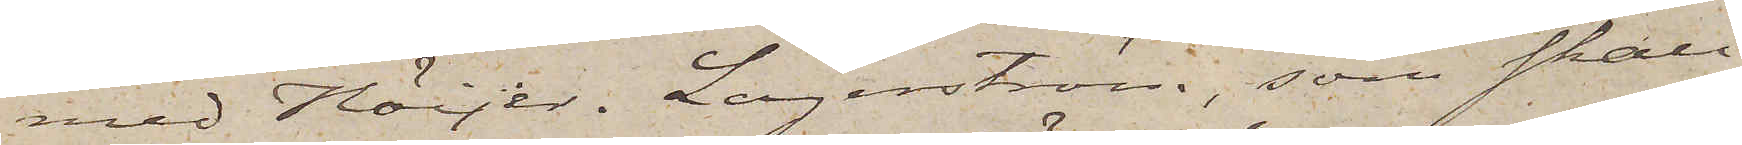med Höijer. Lagerström, som skall
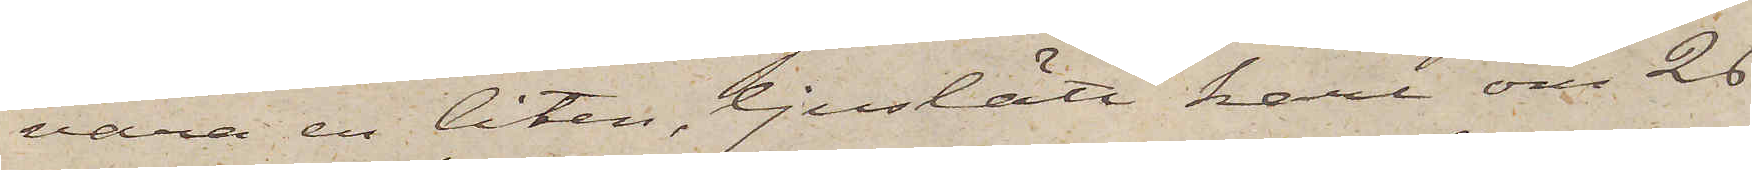vara en liten, ljuslätt karl om 26
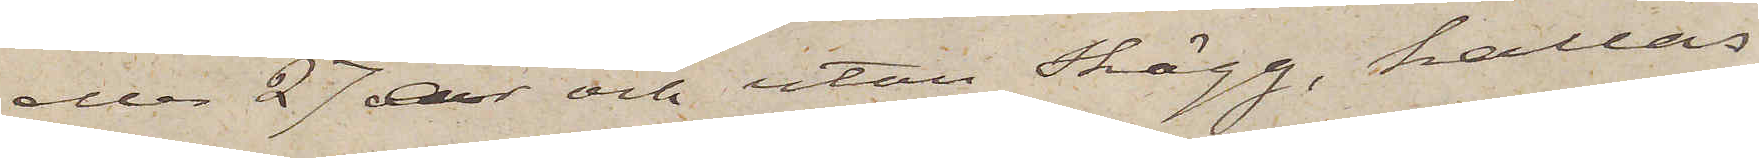eller 27 år och utan Skägg, kallas
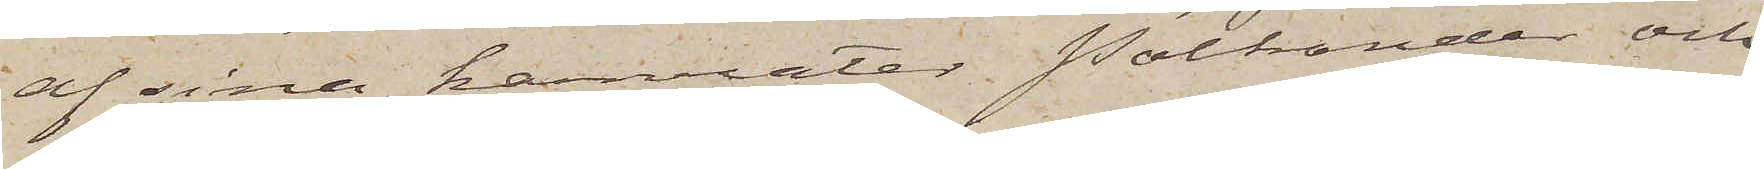af sina kamrater Polkander och
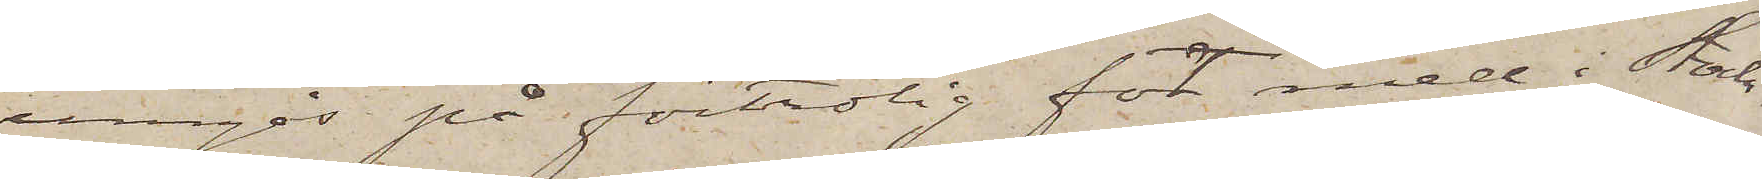umgås på förtrolig fot med i Stock¬
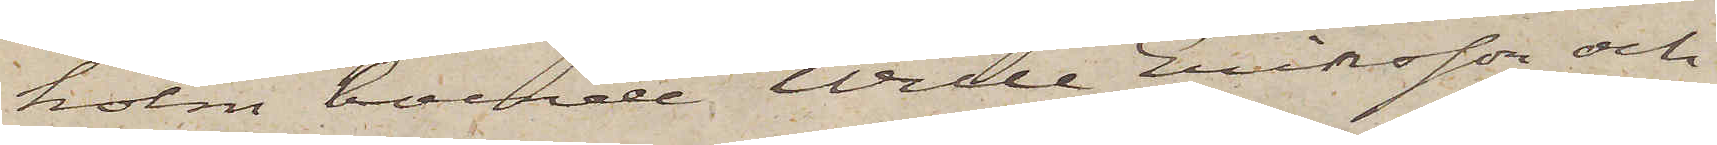holm boende Wille Eriksson och
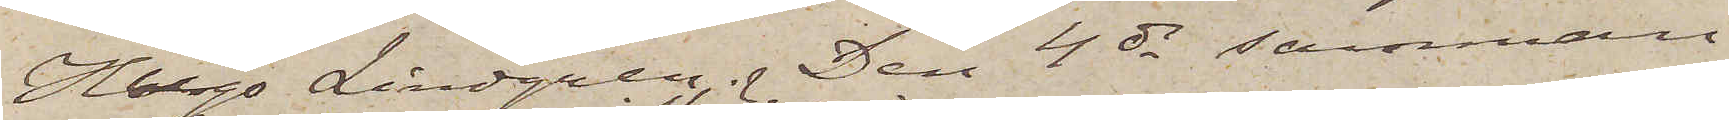Hugo Lindgren. Den 4 ds samman
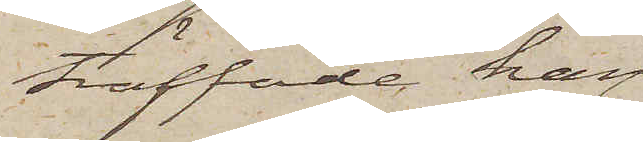träffade han
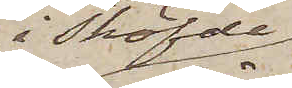i Sköfde,
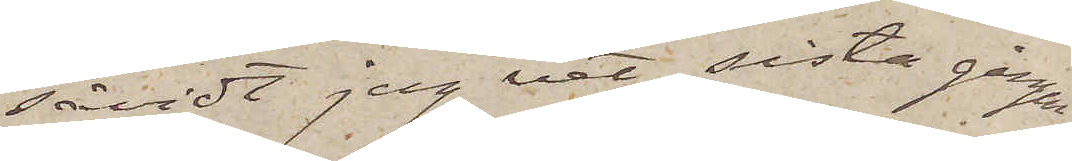såvidt jag vet, sista gången
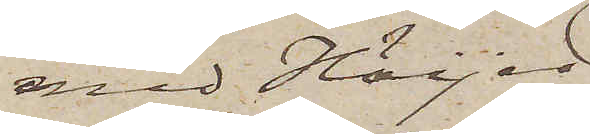med Höijer.
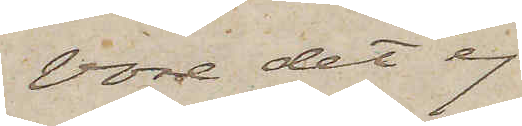Vore det ej
